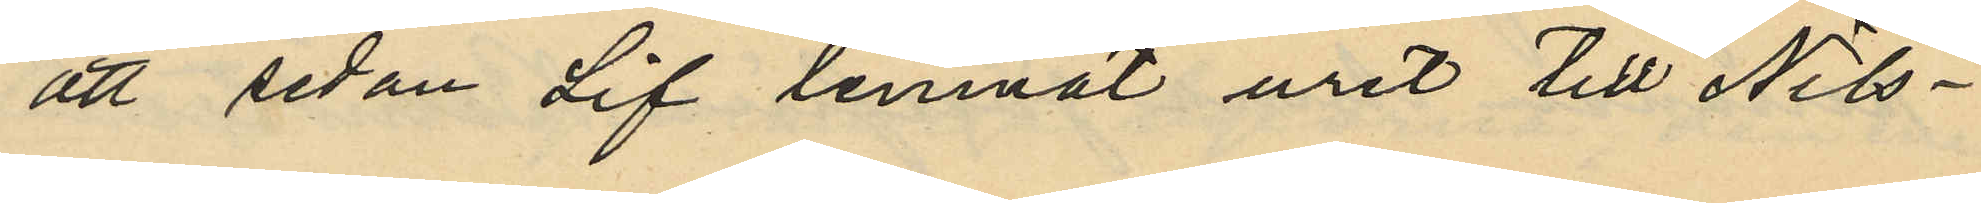att sedan Lif lemnat uret till Nils¬
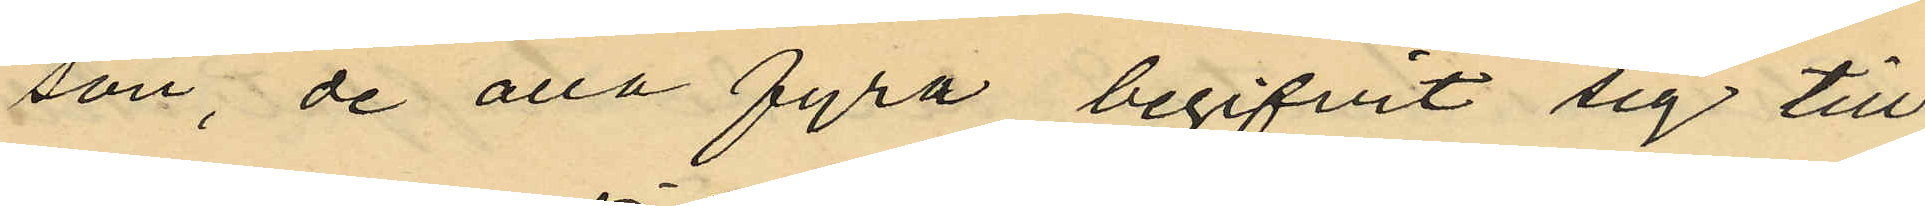son, de alla fyra begifvit sig till
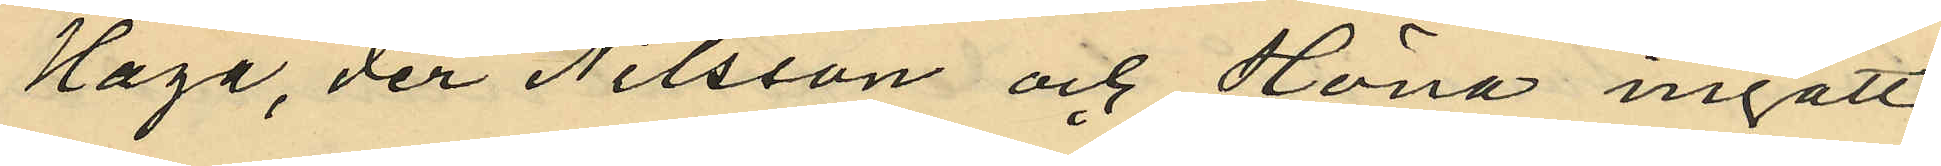Haga, der Nilsson och Höna ingått
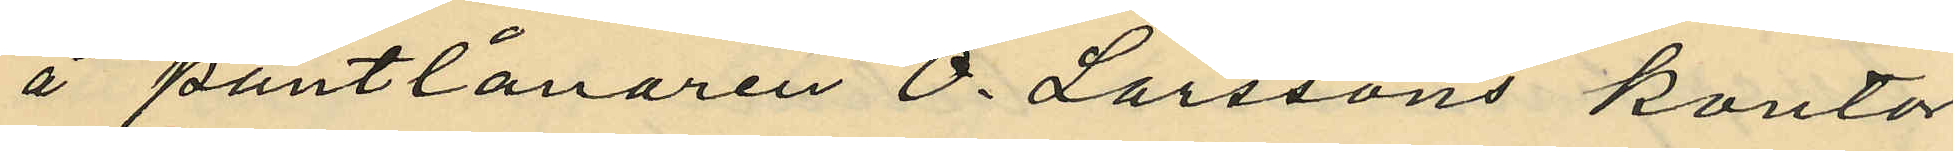å pantlånaren O. Larssons kontor
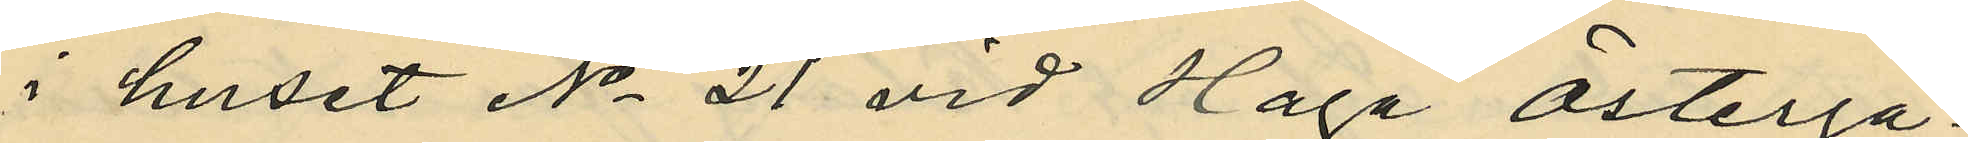i huset No 21 vid Haga Österga¬
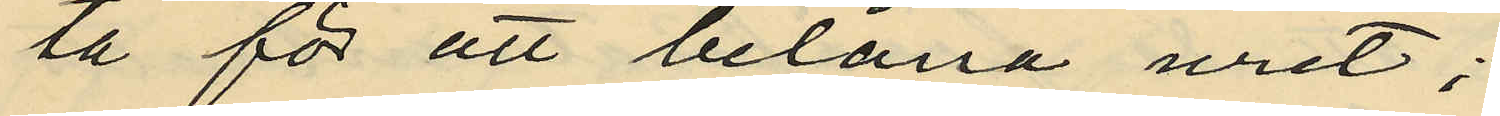ta för att belåna uret;
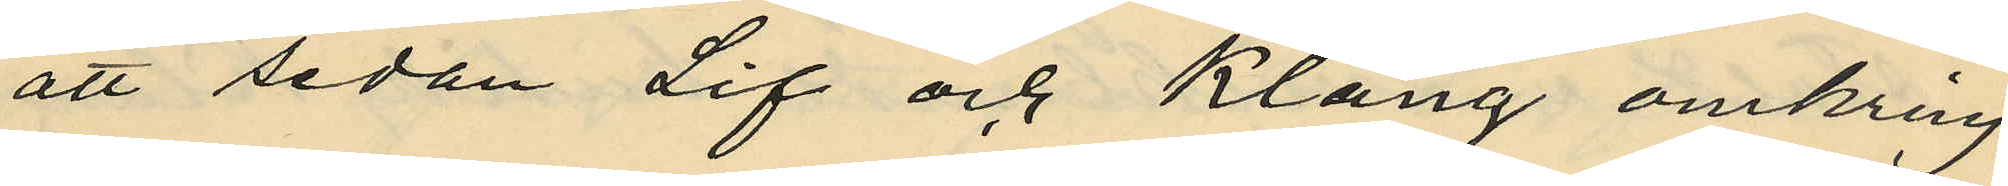att sedan Lif och Klang omkring
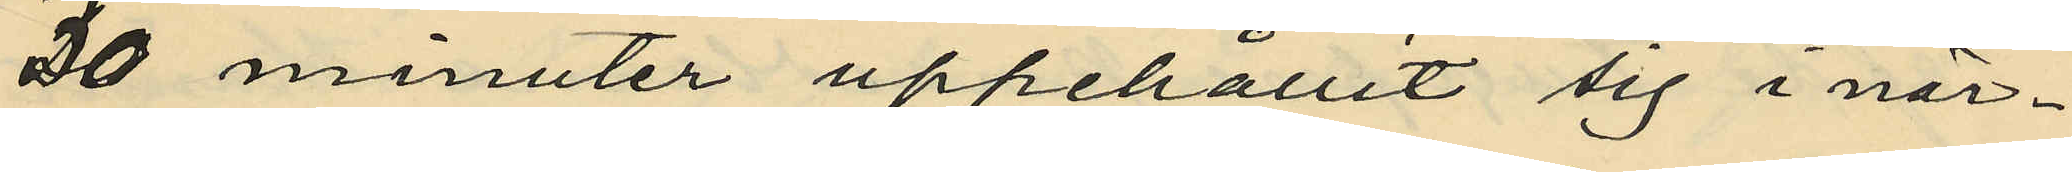30 minuter uppehållit sig i när¬
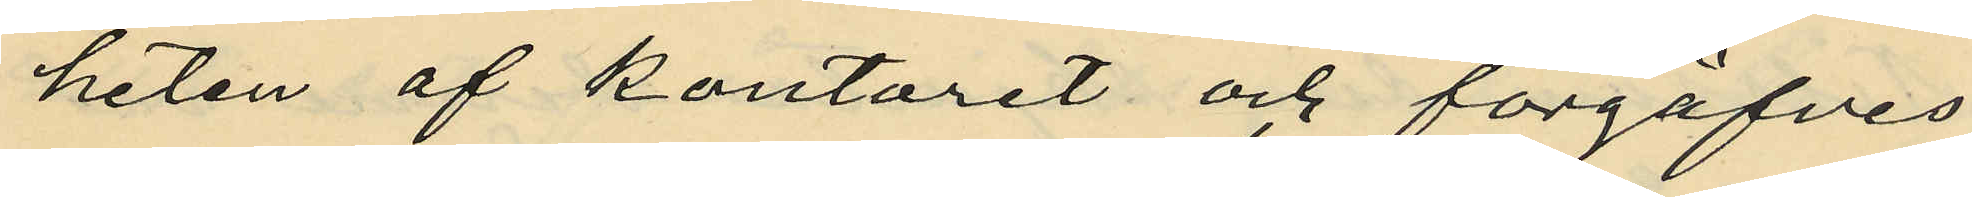heten af kontoret och förgäfves
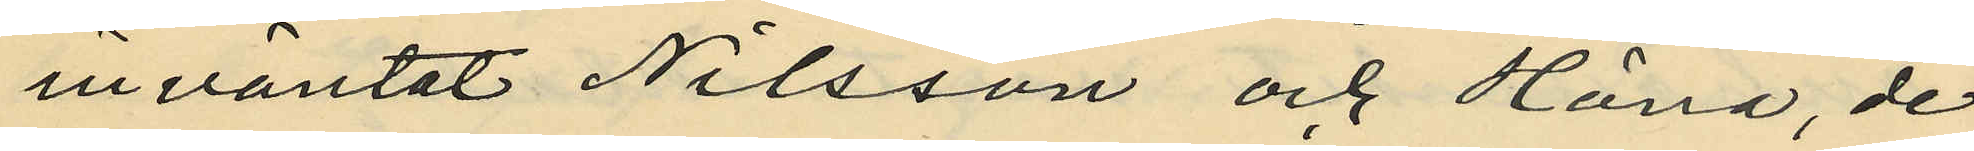inväntat Nilsson och Höna, de
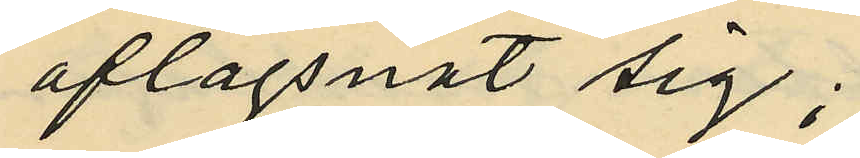aflägsnat sig;
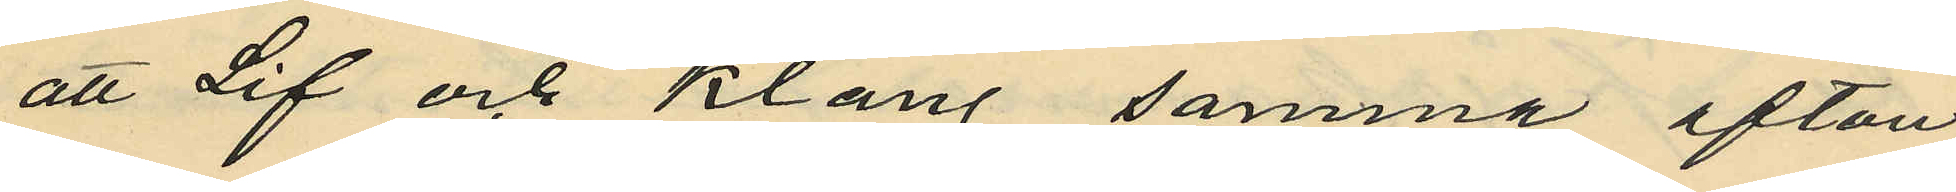att Lif och Klang samma afton
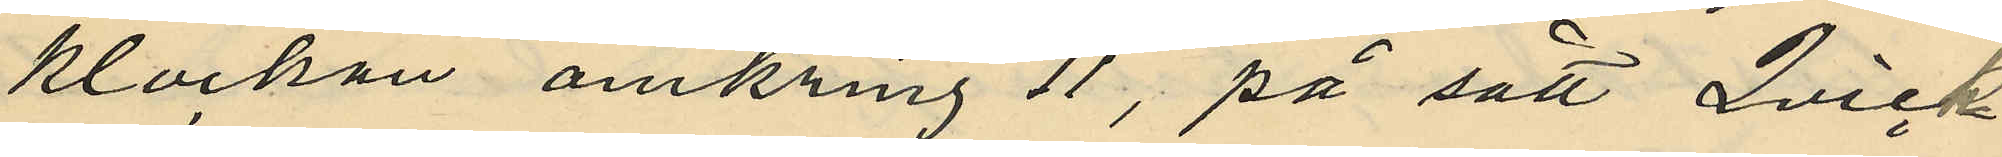klockan omkring 11, på sätt Qvick¬
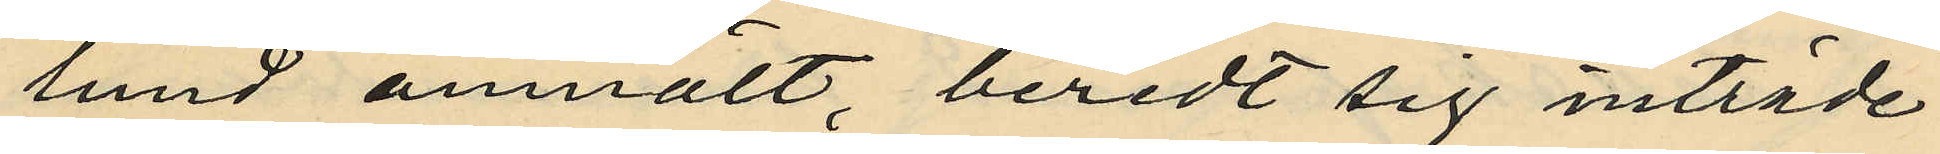lund anmält, beredt sig inträde
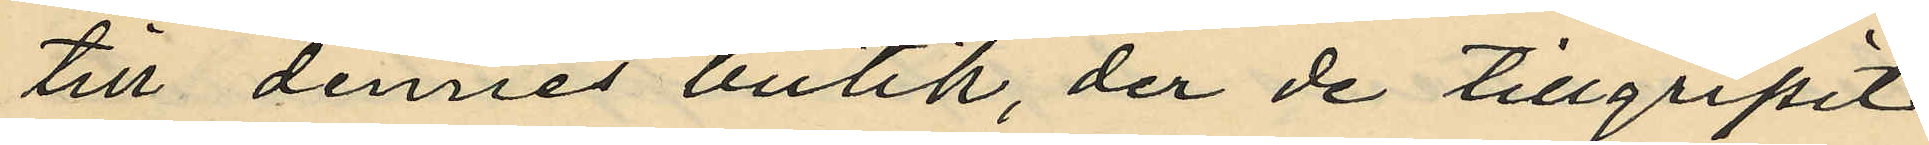till dennes butik, der de tillgripit
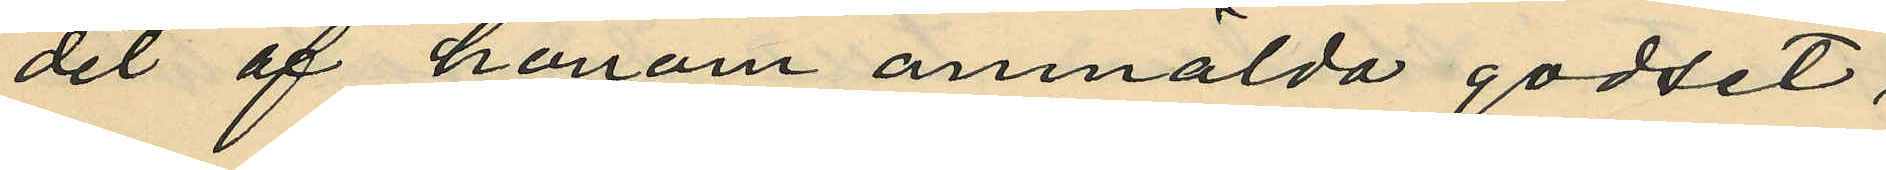det af honom anmälda godset;
